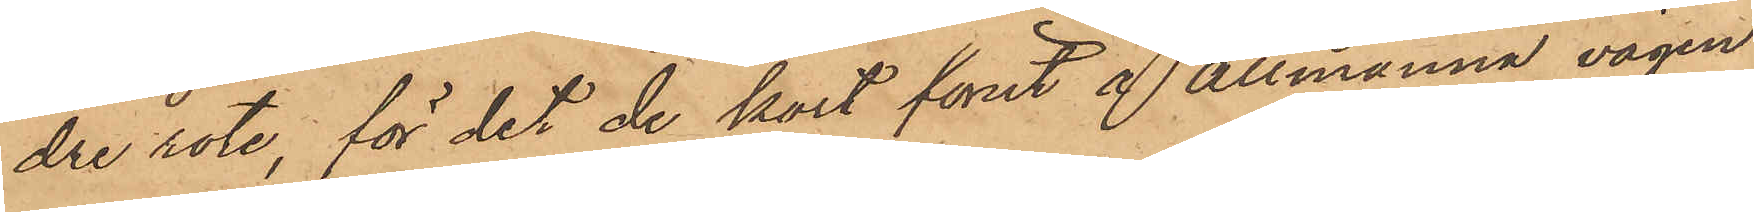dre rote, för det de kort förut å Allmänna vägen
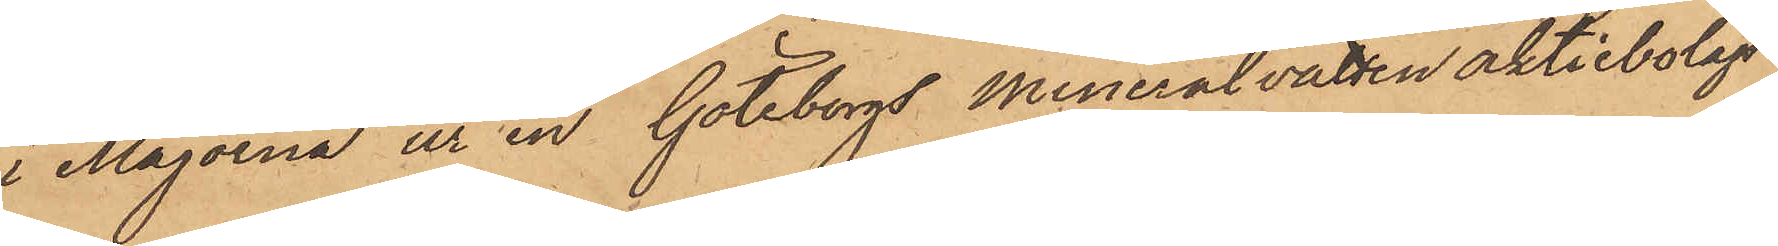i Majorna ur en Göteborgs Mineralvatten Aktiebolags
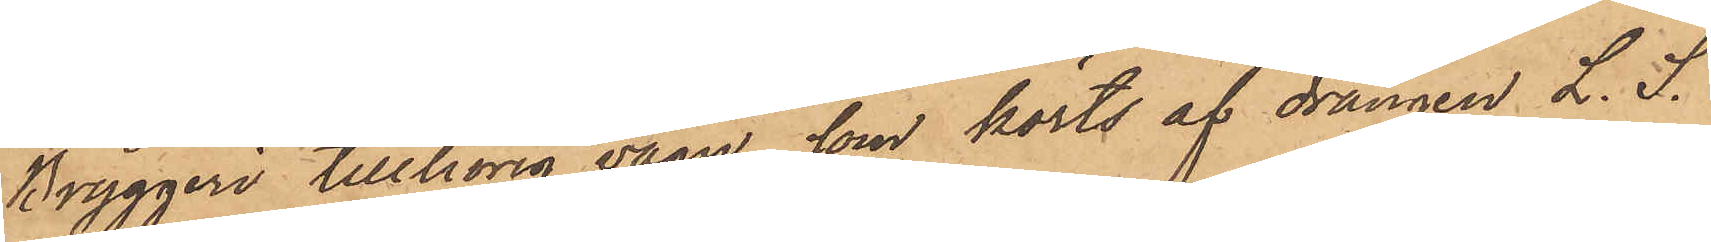Bryggeri tillhörig vagn, som körts af drängen L. S.
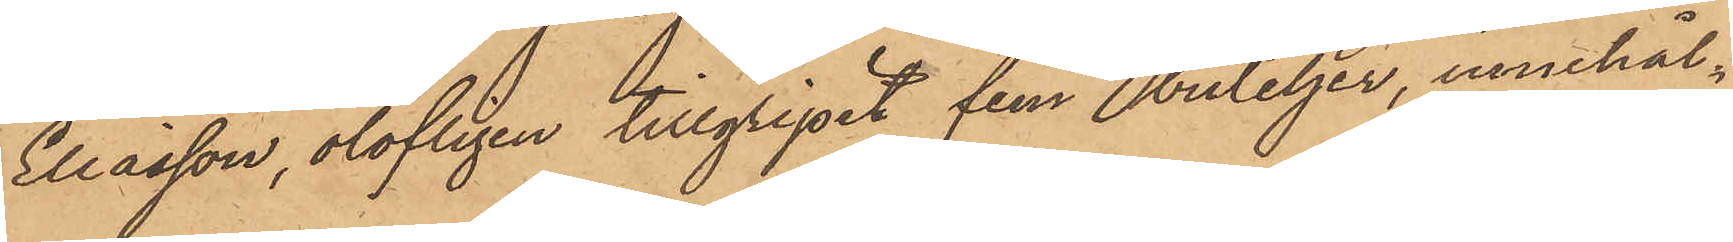Eliasson, olofligen tillgripit fem buteljer, innehål¬
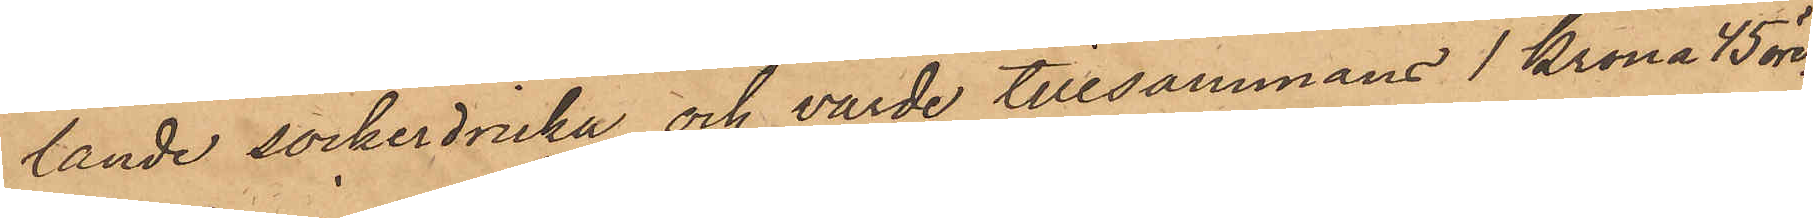lande sockerdricka och värde tillsammans 1 Krona 45 öre.
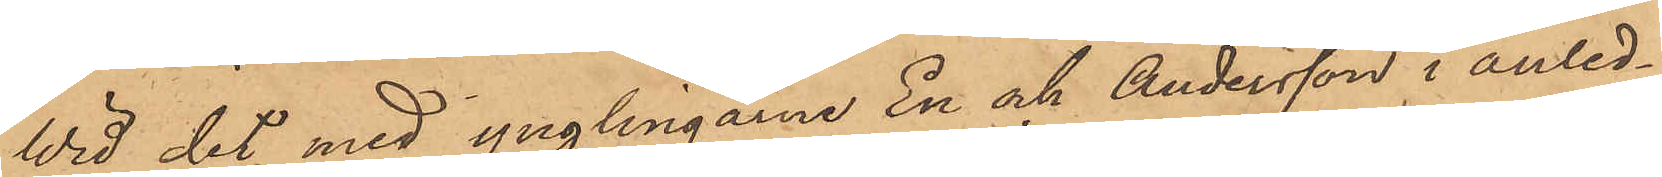Wid det med ynglingarne En och Andersson i anled¬
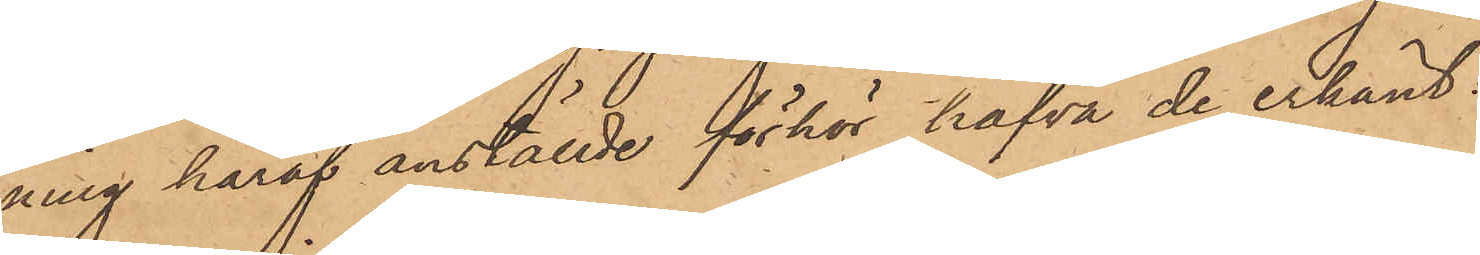ning häraf anställde förhör hafva de erkänt:
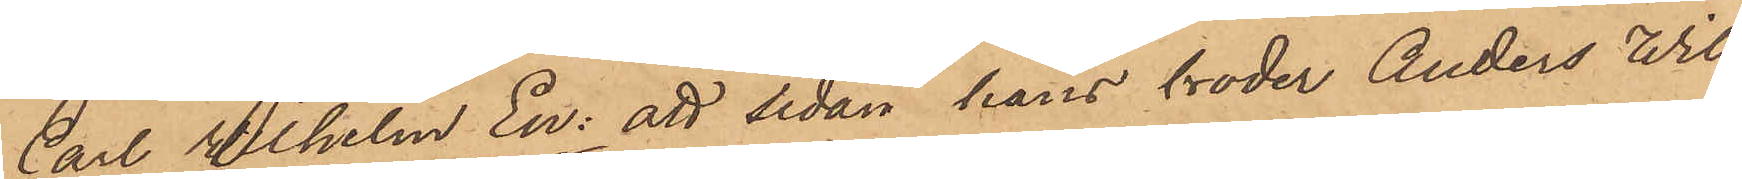Carl Wilhelm En: att sedan hans broder Anders Wil¬
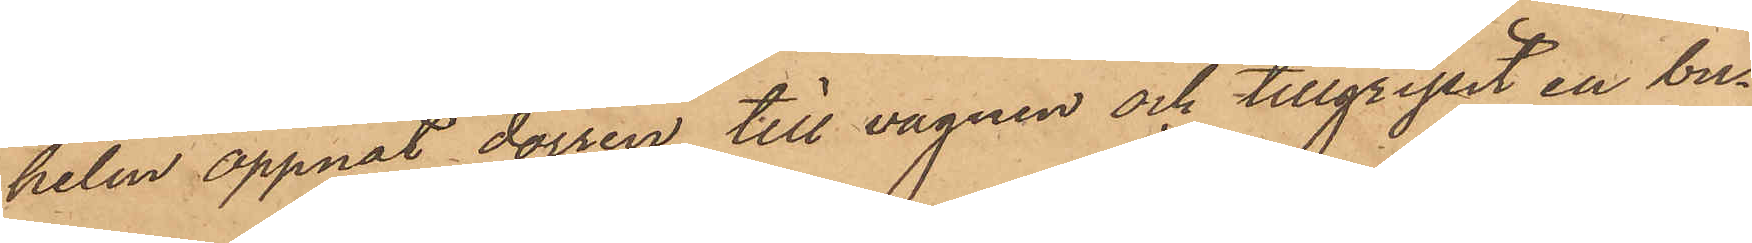helm öppnat dörren till vagnen och tillgripit en bu¬
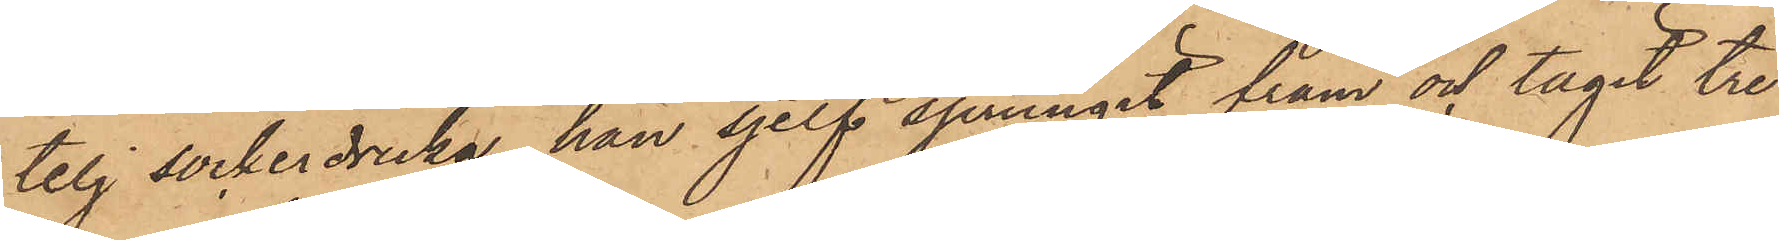telj sockerdricka, han sjelf sprungit fram och tagit tre
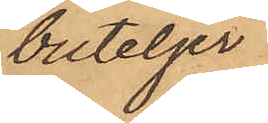buteljer
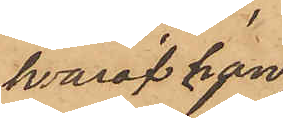hvaraf han
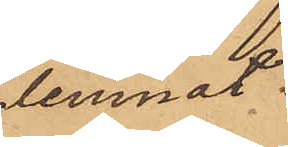lemnat
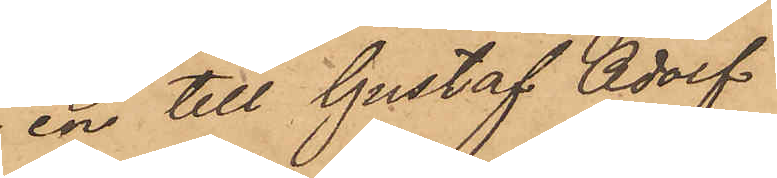en till Gustaf Adolf
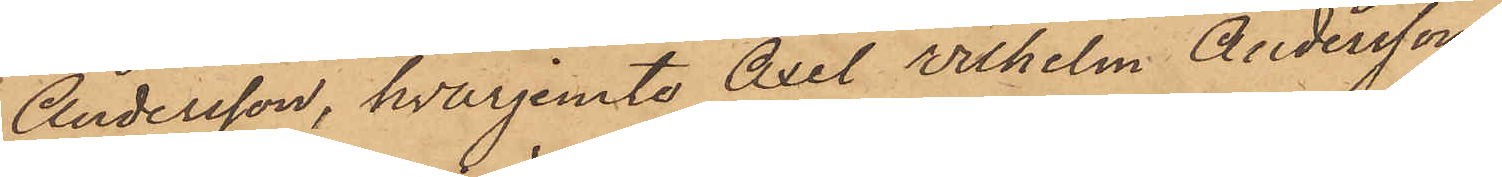Andersson, hvarjemte Axel Wilhelm Andersson
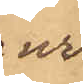ur
